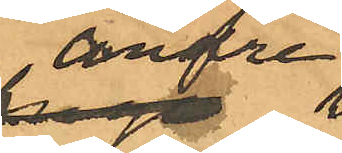andre
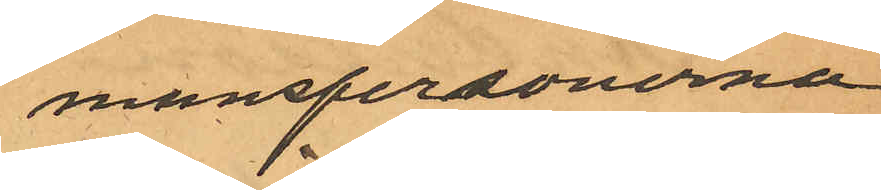manspersonerna
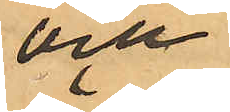och
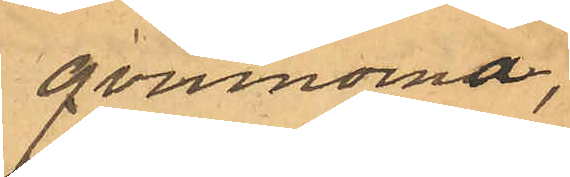qvinnorna,
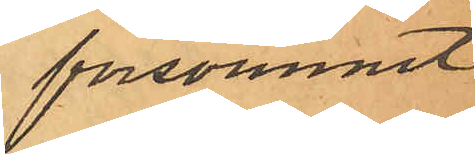försvunnit
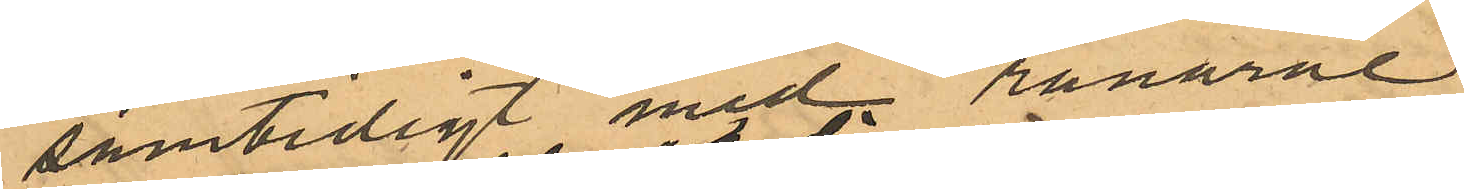samtidigt med rånarne.
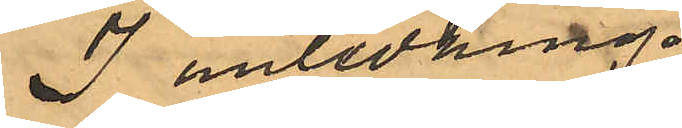I anledning
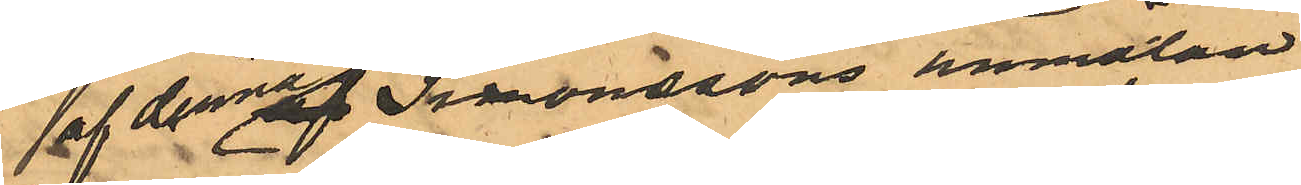af denna Smonssons anmälan
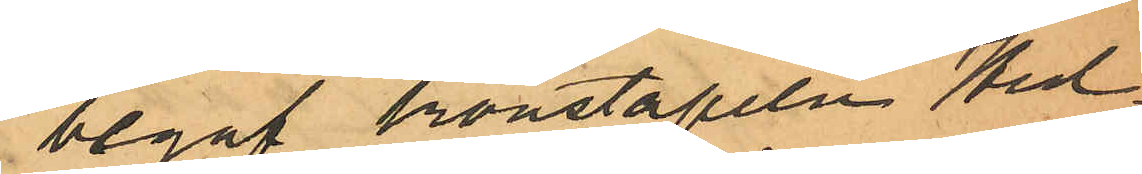begaf konstapeln Hed¬
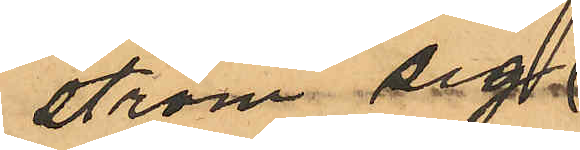ström sig,
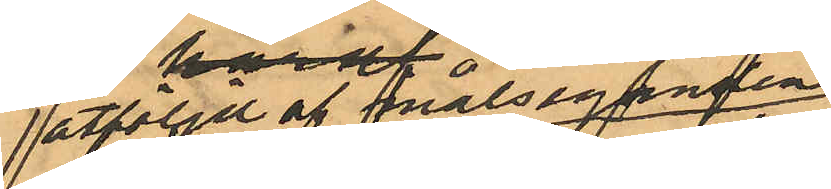åtföljd af målseganden
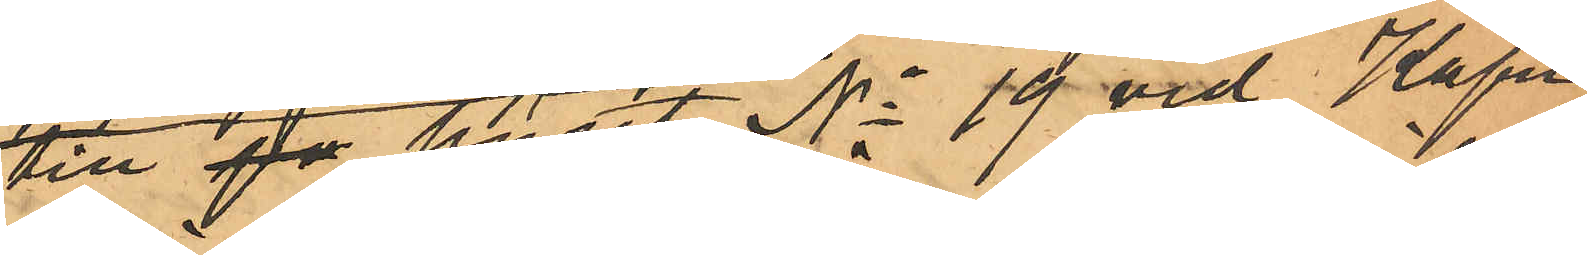till på huset No 19 vid Kapu¬
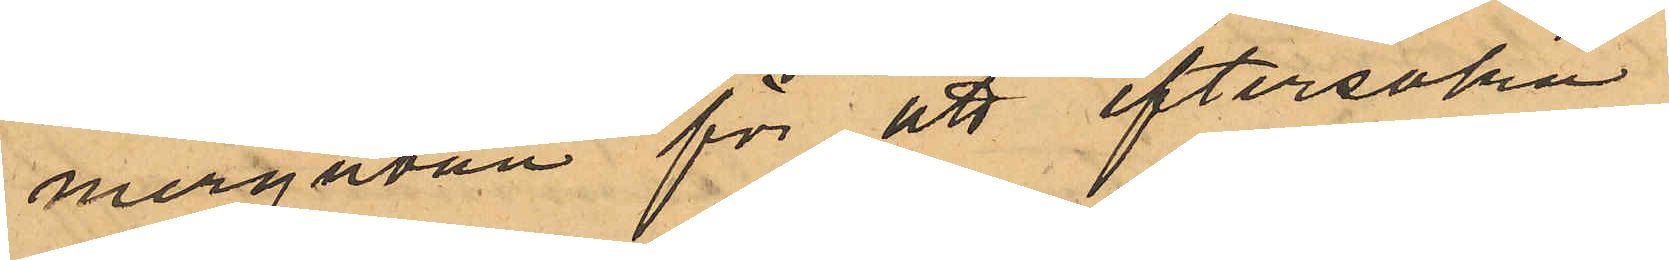niergatan för att eftersöka
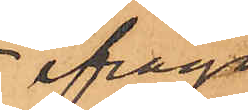ifråga¬
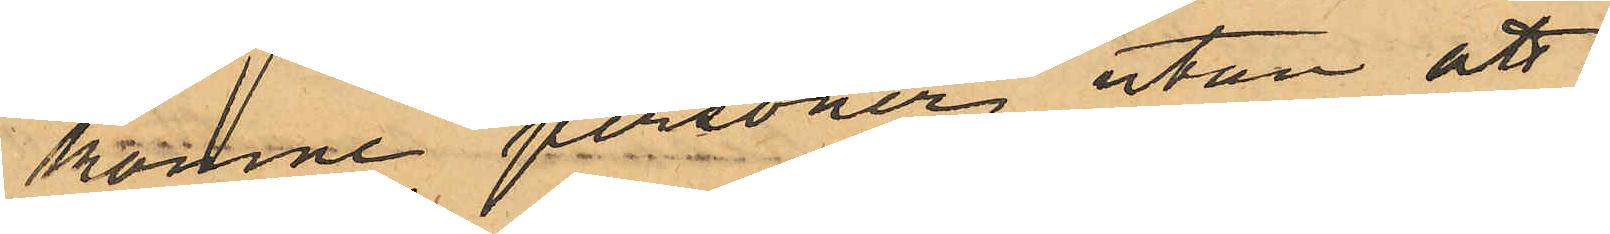komne personer utan att
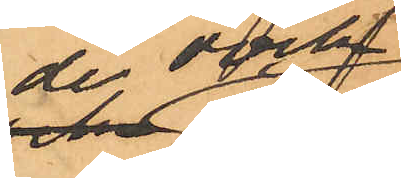de dock
